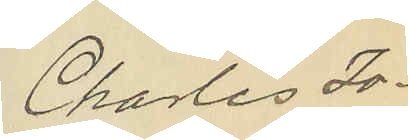Charles Jo¬
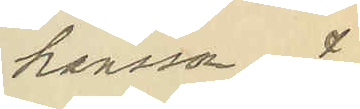hansson &
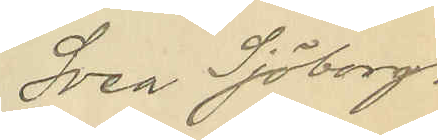Svea Sjöborg.
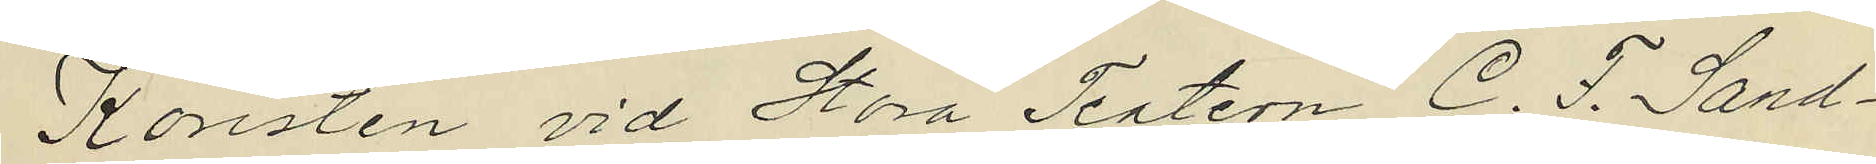Koristen vid Stora Teatern C. F. Sand¬
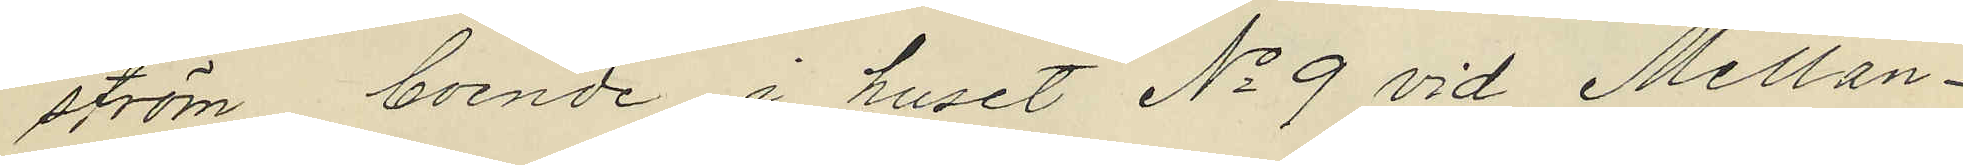ström boende i huset No 9 vid Mellan¬
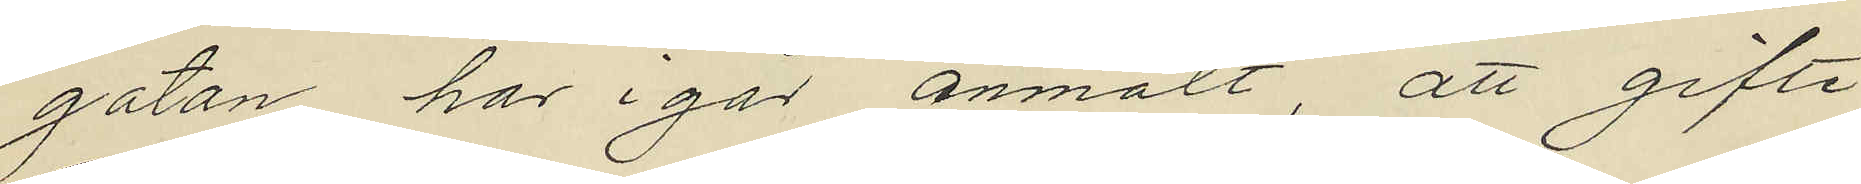gatan har i går anmält, att gifte
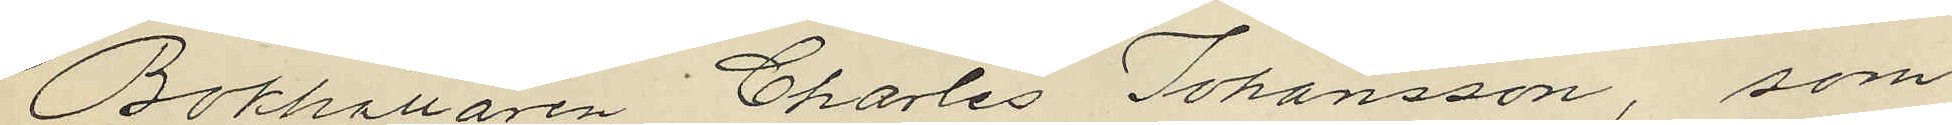Bokhållaren Charles Johansson, som
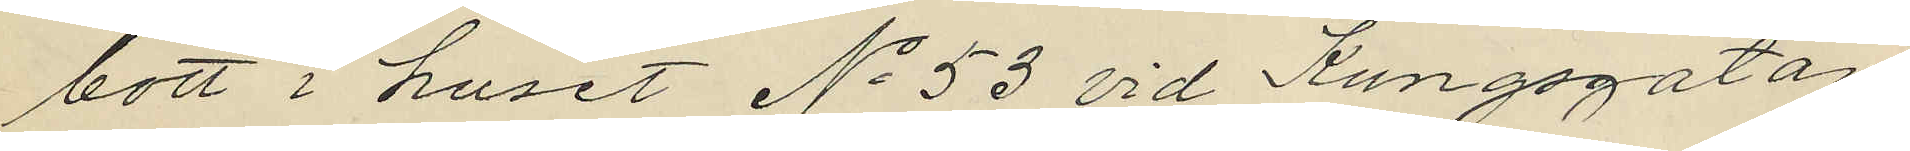bott i huset No 53 vid Kungsgatan
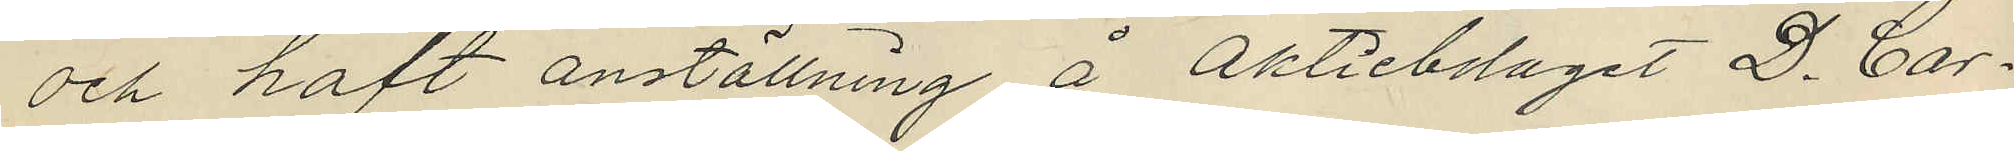och haft anställning å Aktiebolaget D. Car¬
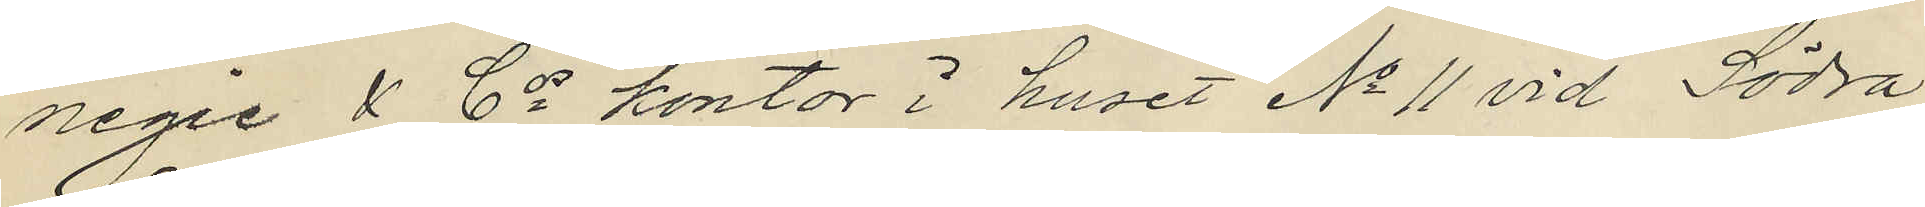negie & Cos kontor i huset No 11 vid Södra
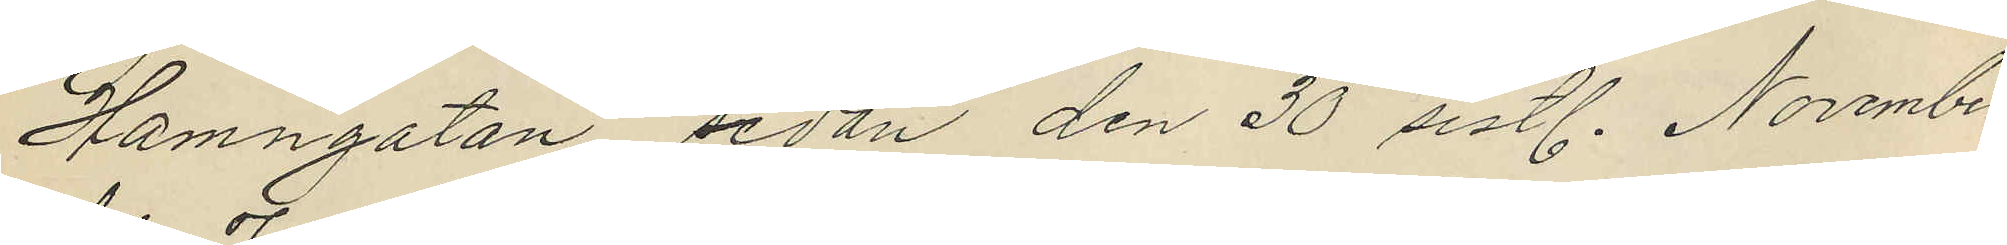Hamngatan sedan den 30 sistl. November
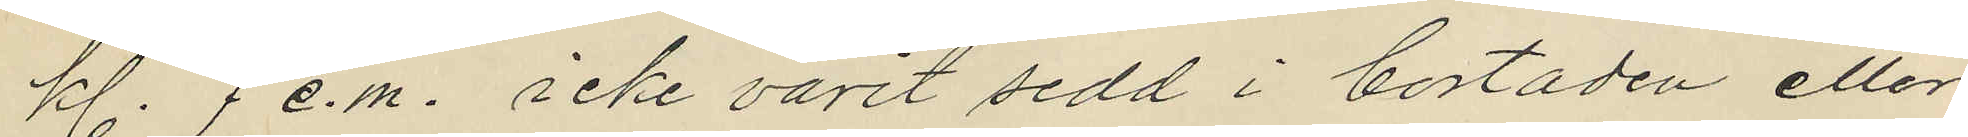kl. 7 e.m. icke varit sedd i bostaden eller
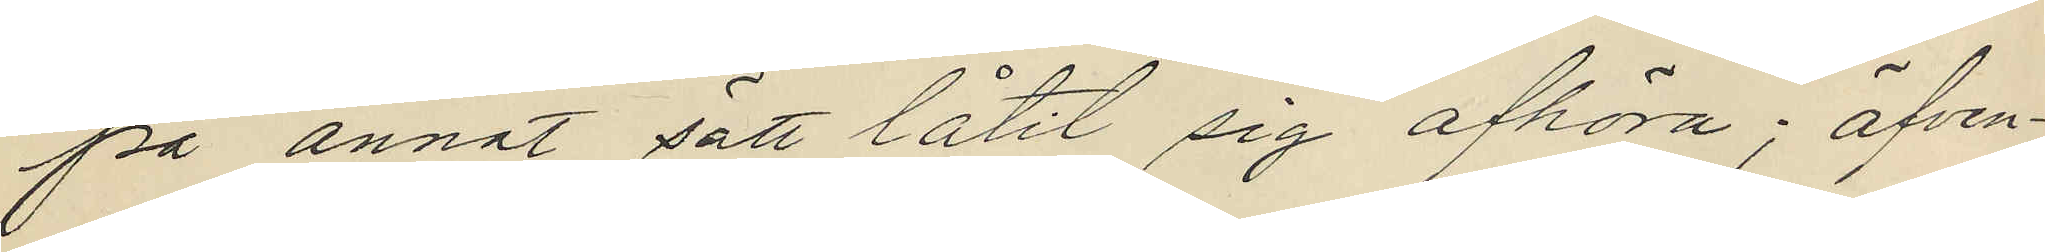på annat sätt låtit sig afhöra; äfven¬
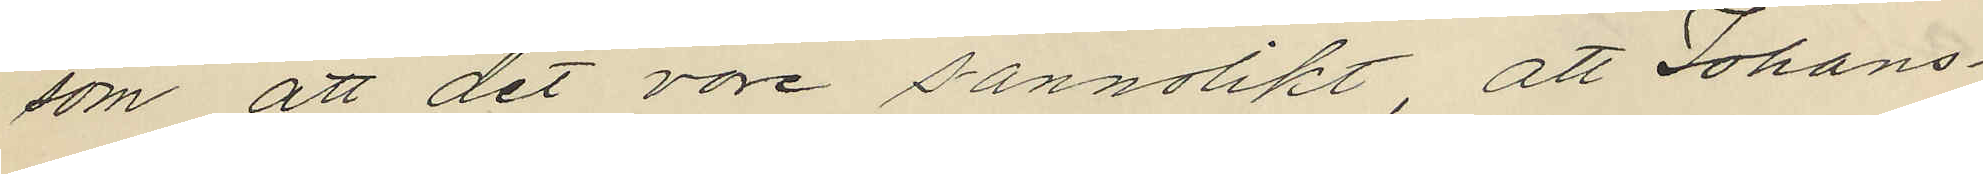som att det vore sannolikt, att Johans¬
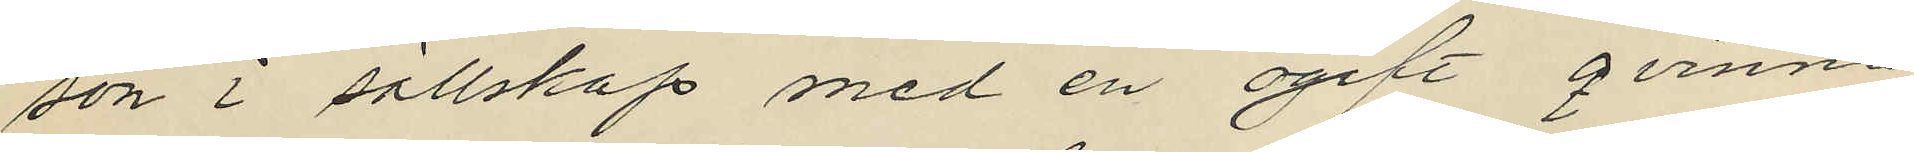son i sällskap med en ogift qvinna
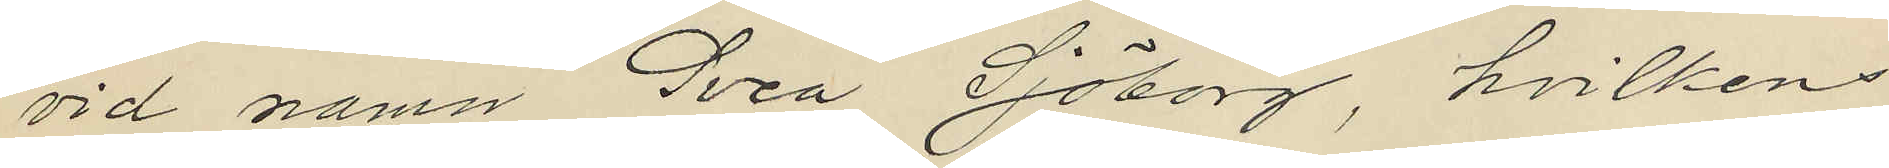vid namn Svea Sjöborg, hvilkens
